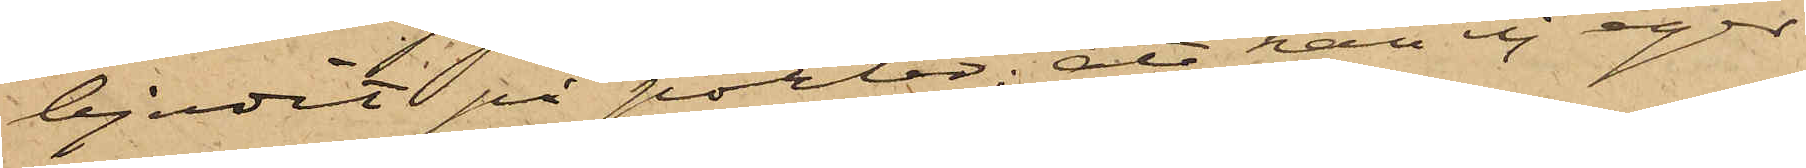bjudit på porter; att han ej eger
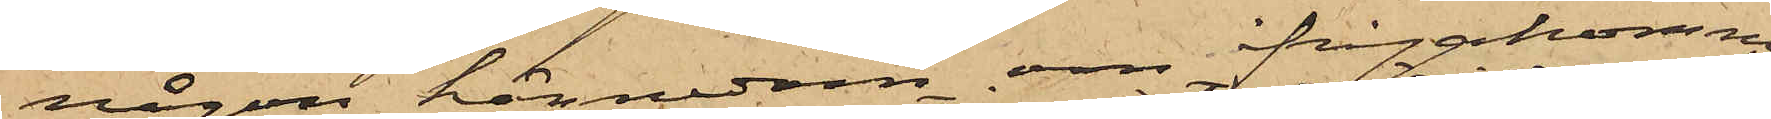någon kännedom om ifrågakomne
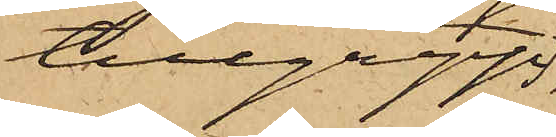tillgrepp
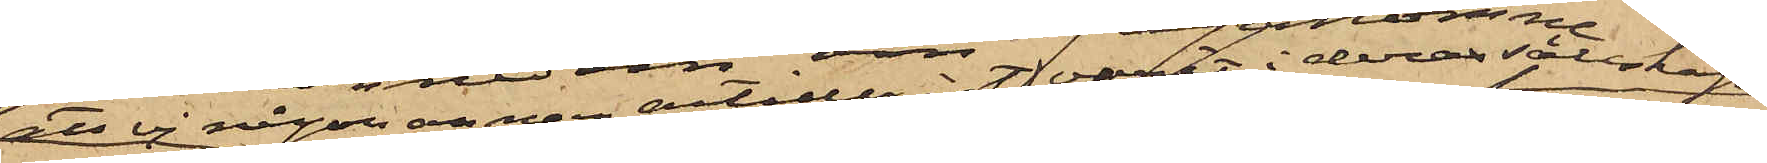att ej någon artillerist varit i deras sällskap;
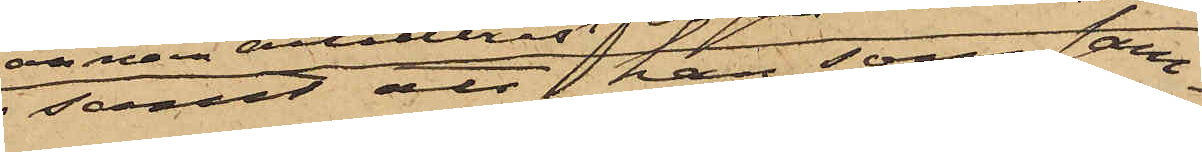samt att han, som sam¬
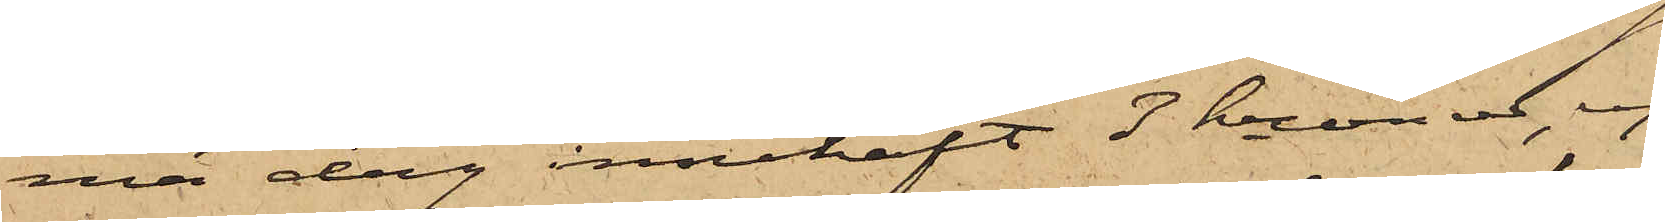ma dag innehaft 3 kronor, ej  
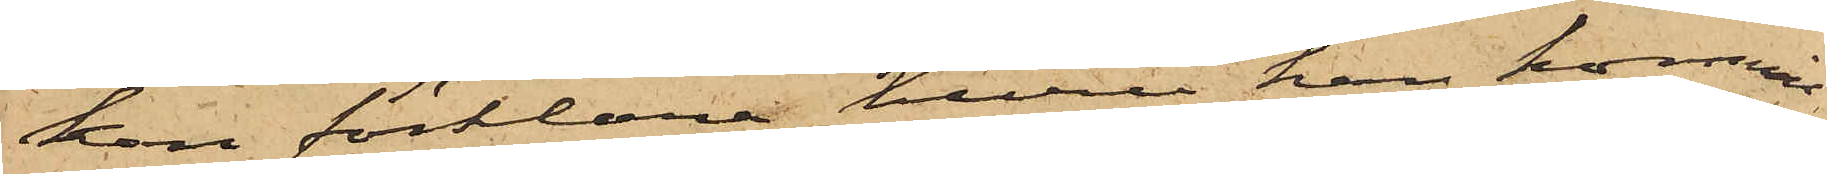kan förklara huru han kommit
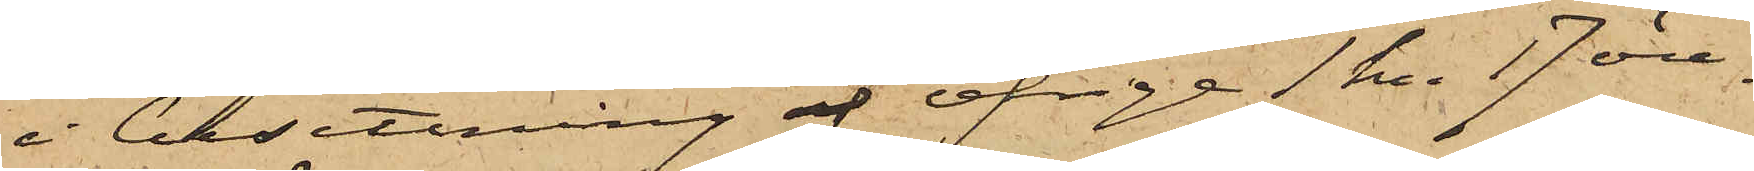i besittning af öfriga 1 kr. 17 öre,
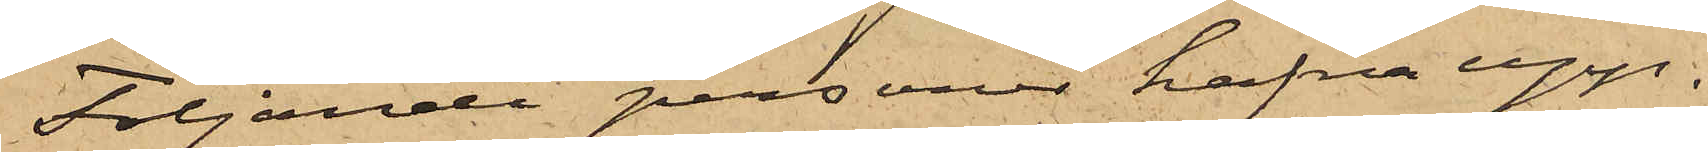Följande personer hafva upp¬
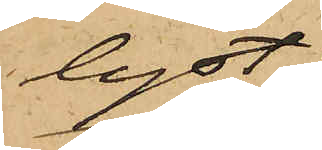lyst:
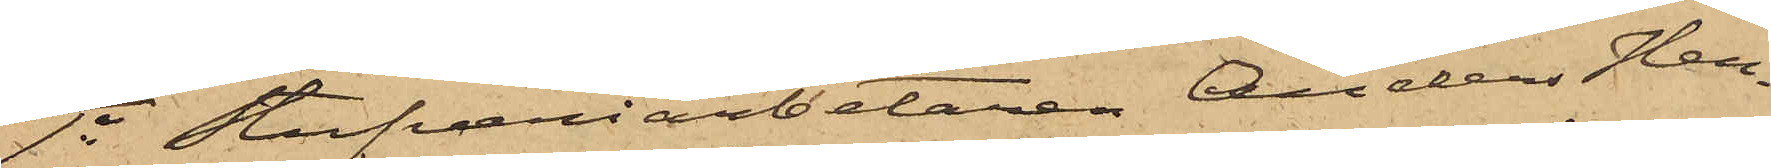1o Stufveriarbetaren Anders Hen¬
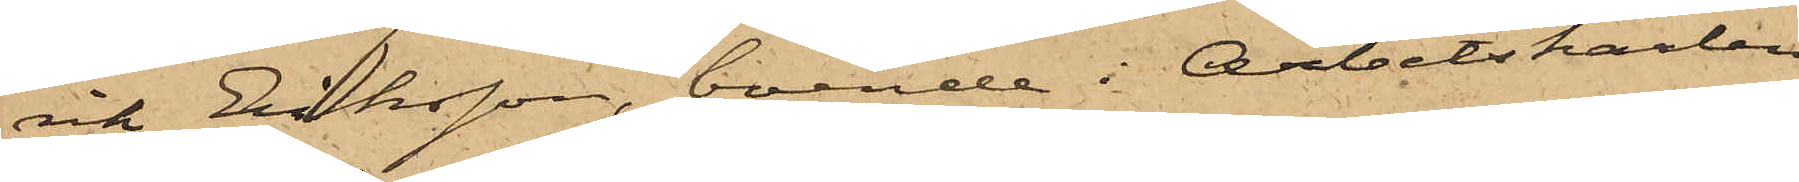rik Eriksson, boende i Arbetskarlen
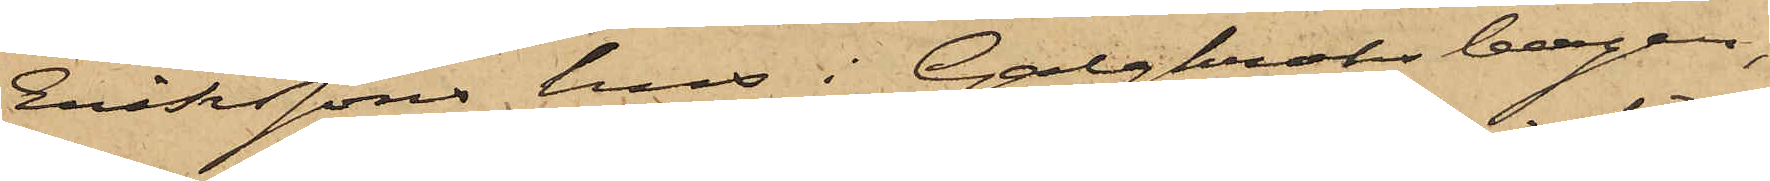Erikssons hus i Galgkroksbergen,
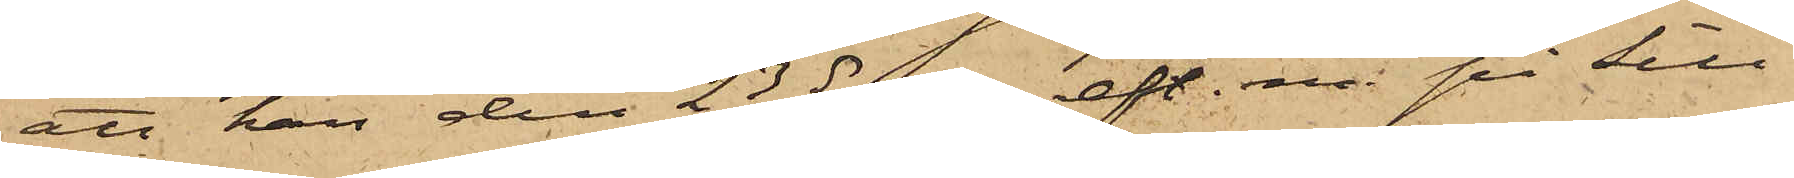att han den 23 ds eft. m. på Sill¬
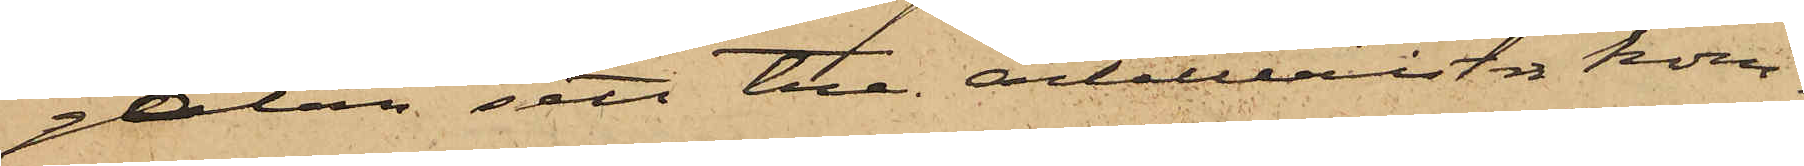gatan sett tre artillerister kom¬
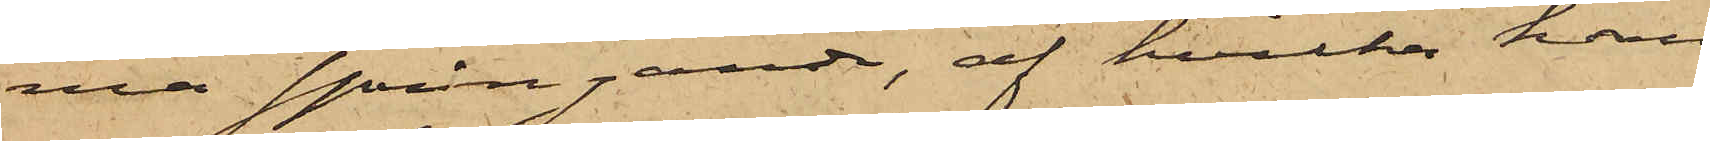ma springande, af hvilka han
